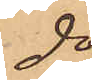do
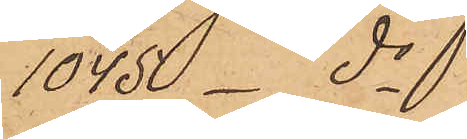1045 _ do
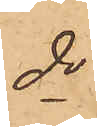do
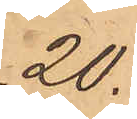20.
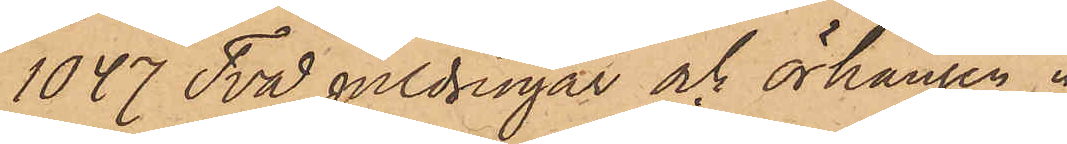1047 Två guldringar och örhängen 
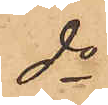do
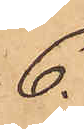6.
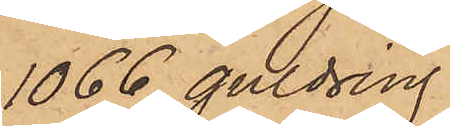1066 guldring
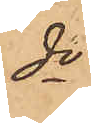do
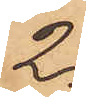2.
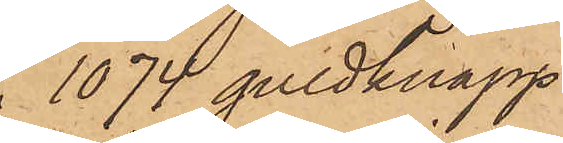1074 guldknapp
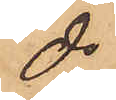do
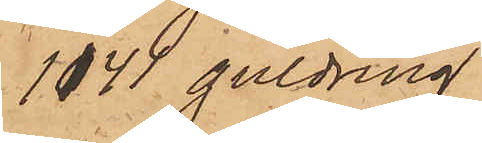1141 guldring
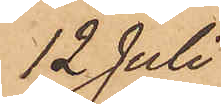12 Juli
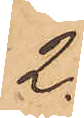2.
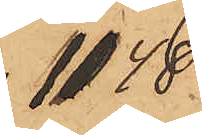1148
